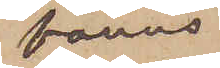fanns
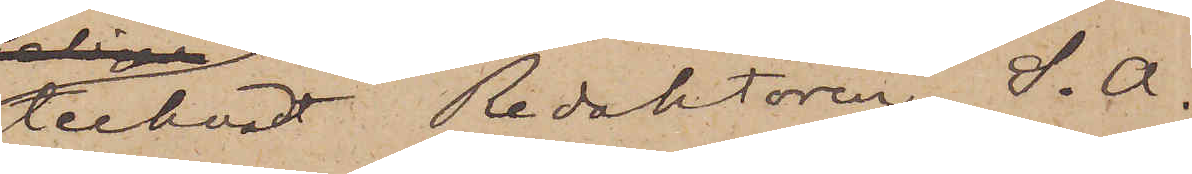tecknat Redaktören S. A.
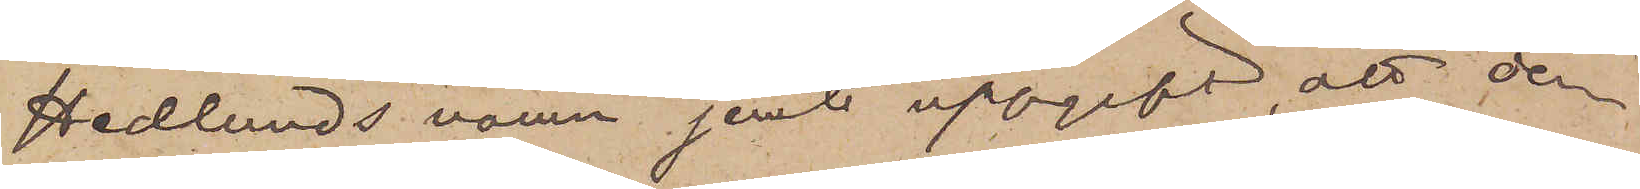Hedlunds namn jemte uppgift, att den¬
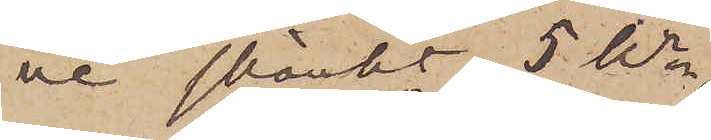ne skänkt 5 Kr.
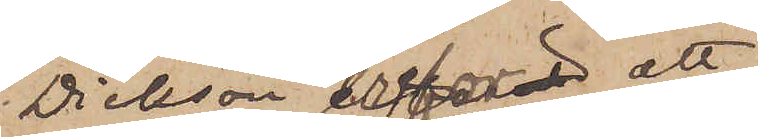Dickson erfor, att
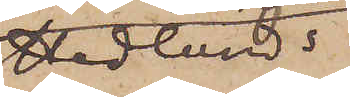Hedlunds
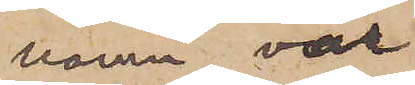namn var
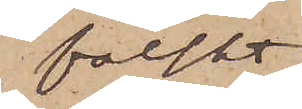falskt
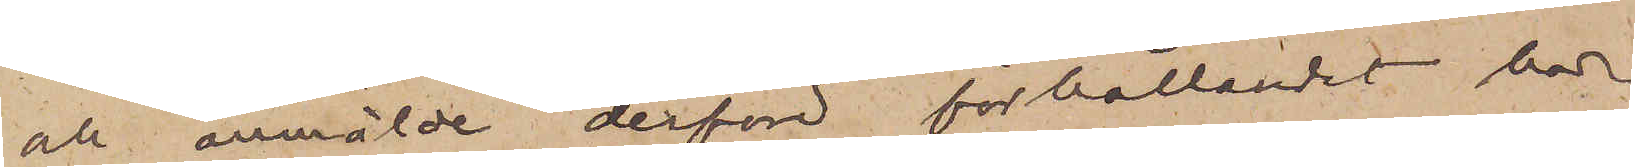och anmälde derför förhållandet här¬
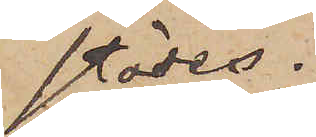städes.
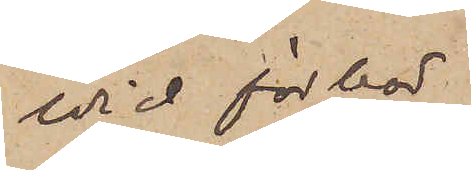Vid förhör
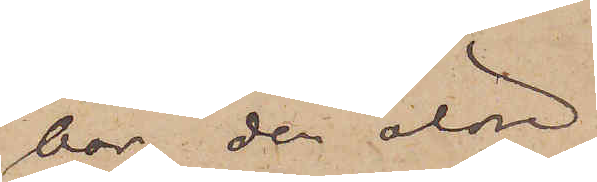har den äldre
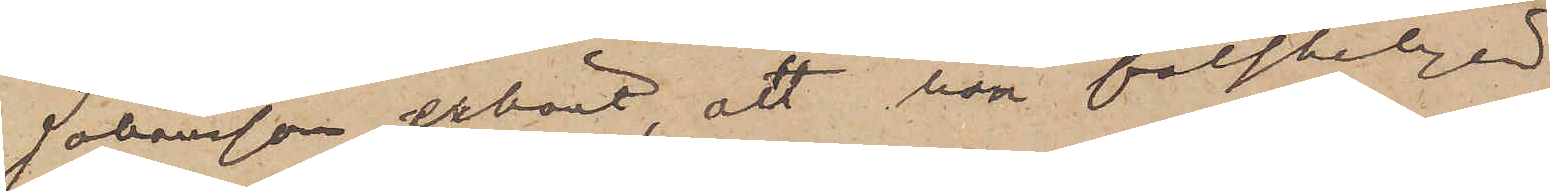Johansson erkänt, att han falskeligen
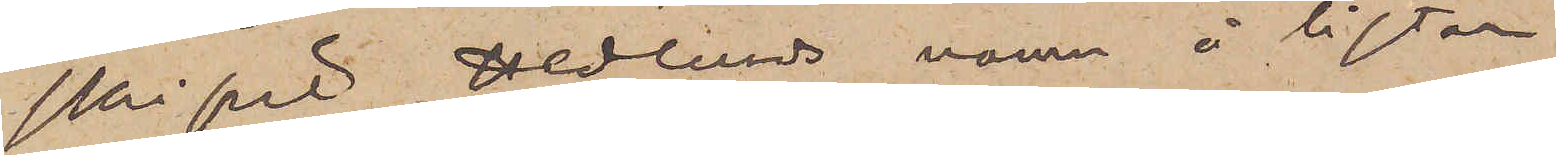skrifvit Hedlunds namn å listan
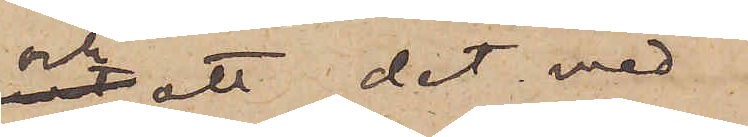och att det med
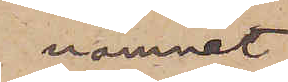namnet
